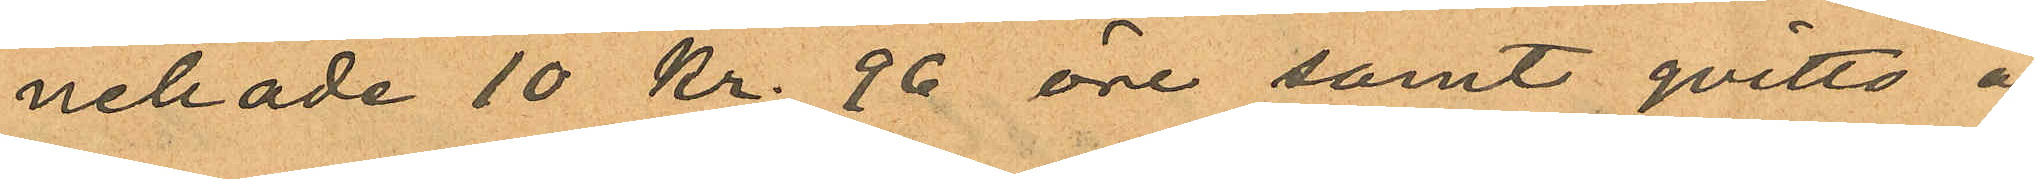nehade 10 kr. 96 öre samt qvitto å
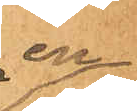en
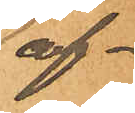af¬
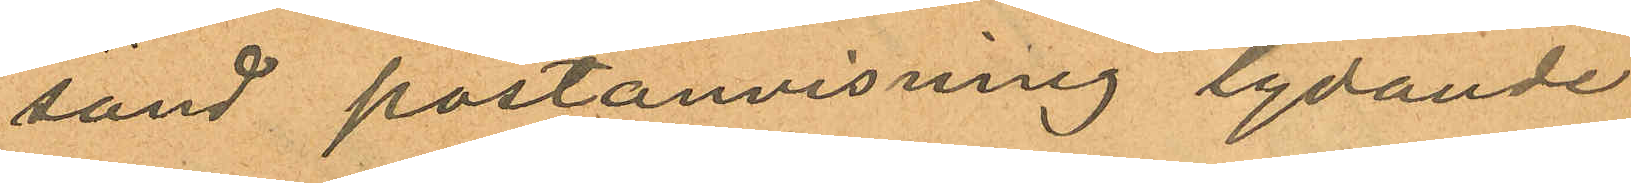sänd postanvisning lydande
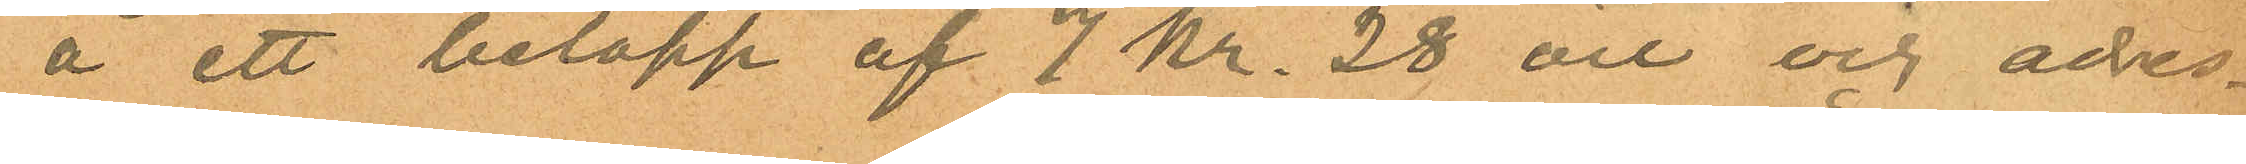å ett belopp af 7 Kr. 28 öre och adres¬
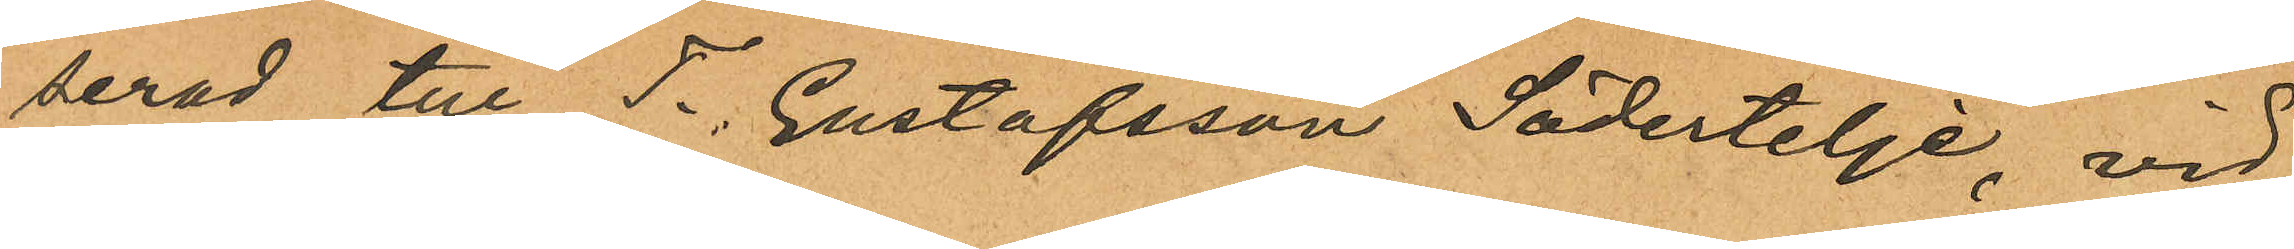serad till T. Gustafsson Södertelje, vid
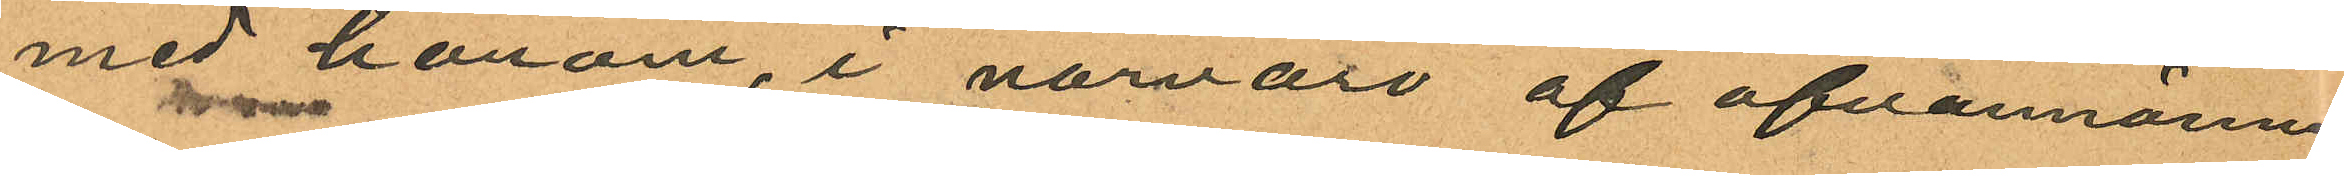med honom, i närvaro af ofvannämnd
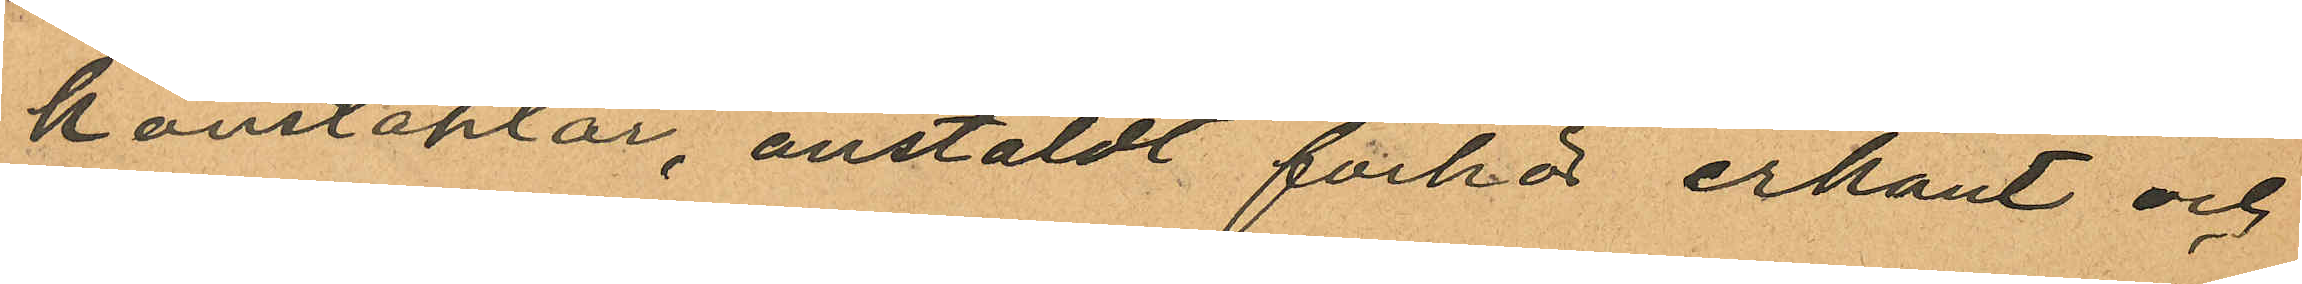konstaplar, anstäldt förhör erkänt och
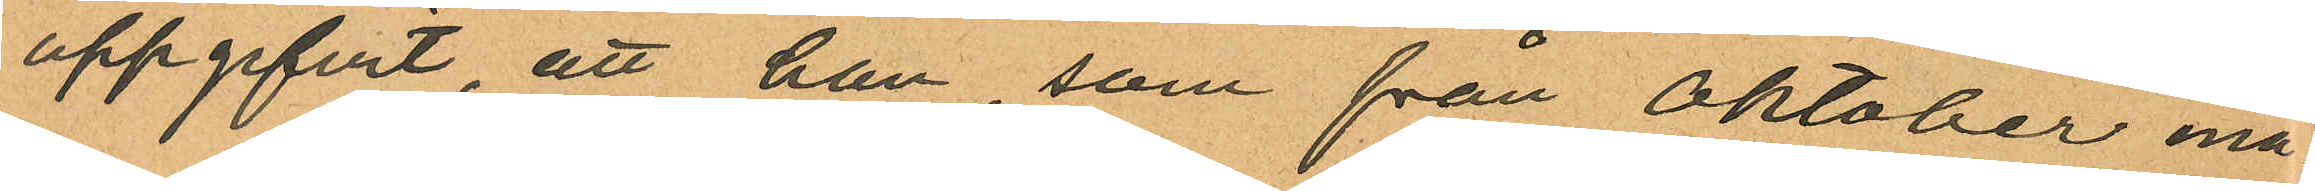uppgifvit, att han, som från Oktober må¬
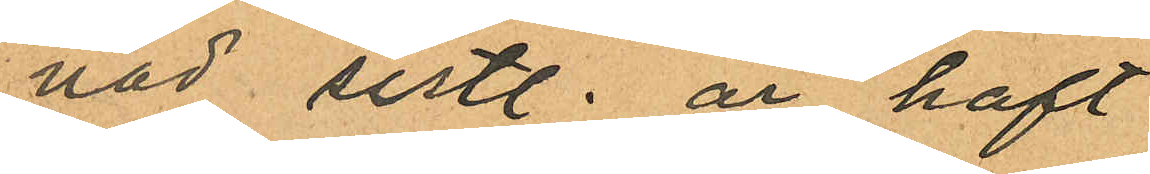nad sistl. år haft
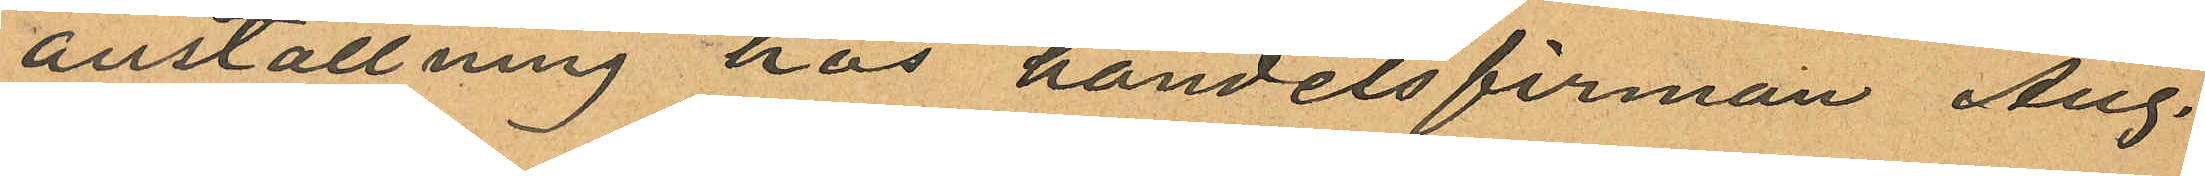anställning hos handelsfirman Aug.
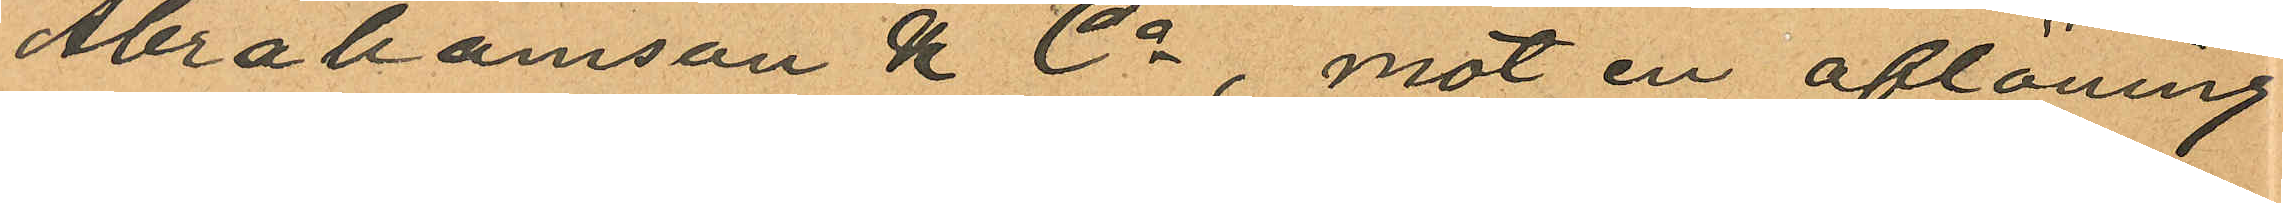Abrahamsson & Co, mot en aflöning
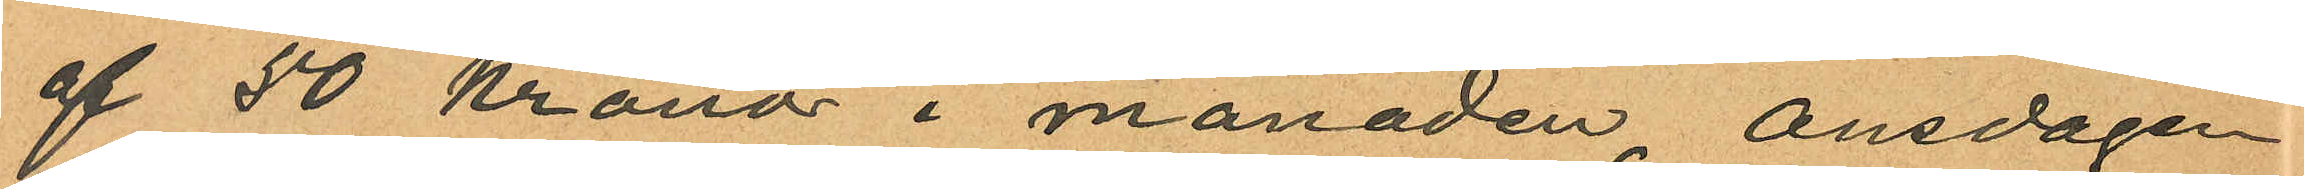af 50 kronor i månaden, onsdagen
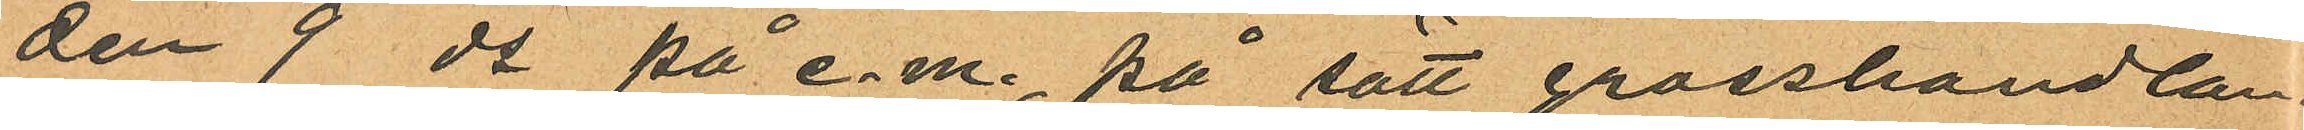den 9 ds på e.m., på sätt grosshandlan¬
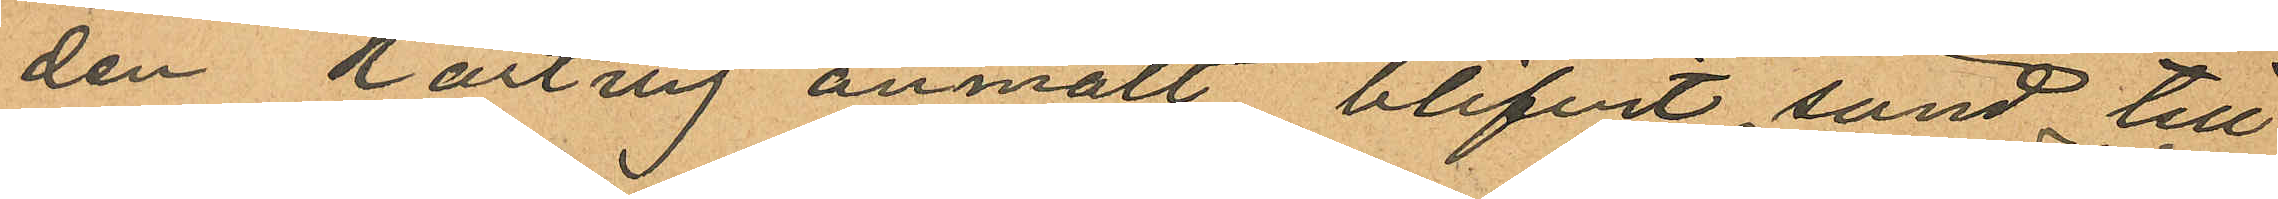den Hartvig anmält blifvit sänd till
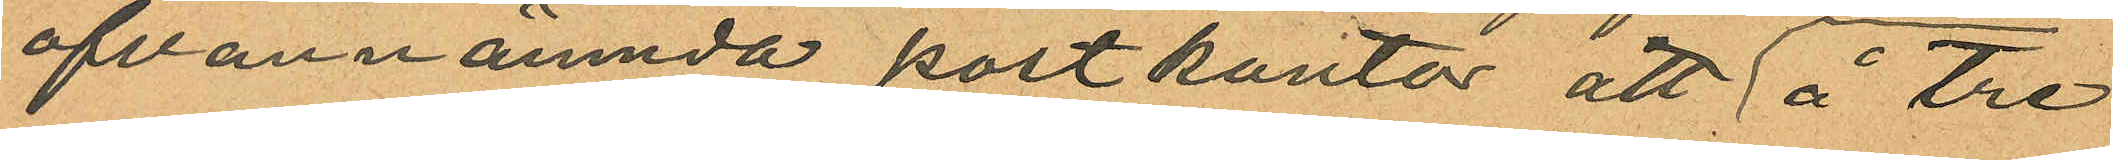ofvannämnda postkontor att å tre
